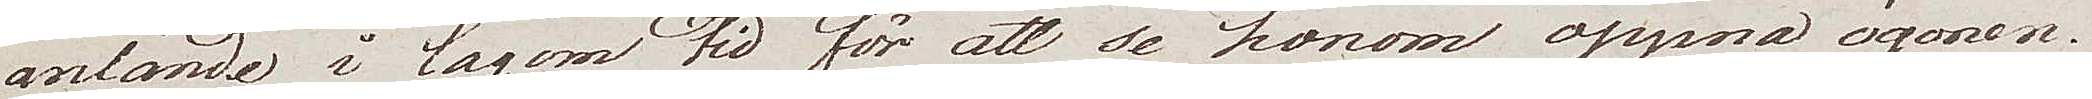anlände i lagom tid för att se honom öppna ögonen.
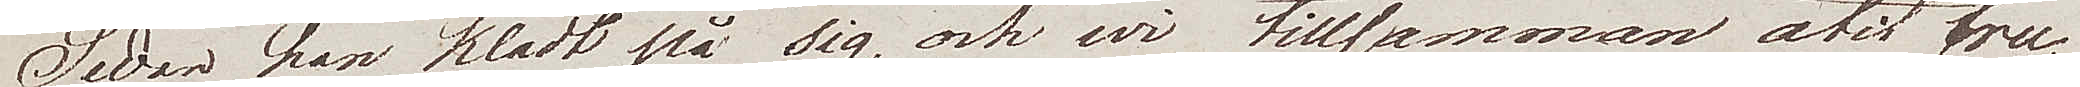Sedan han klädt på sig, och wi tillsammans ätit fru¬
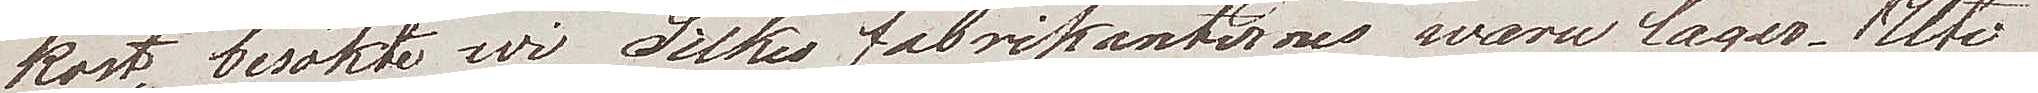kost besökte wi Silkes fabrikanternes waru lager. Uti
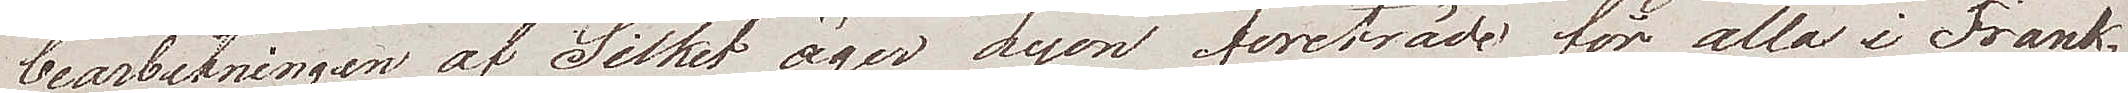bearbetningen af Silket äger Lyon företräde för alla i Frank¬
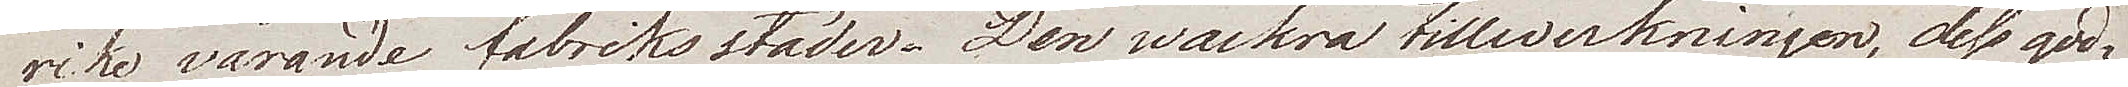rike varande fabriksstäder. Den wackra tillverkningen, dess god¬
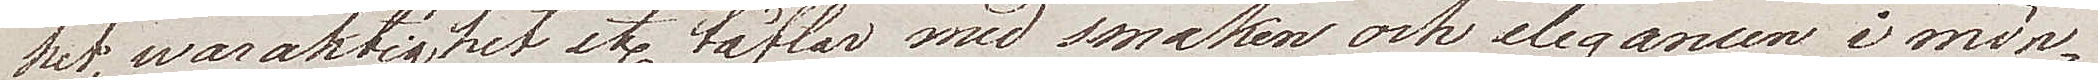het, waraktighet etc täflar med smaken och elegancen i mön¬
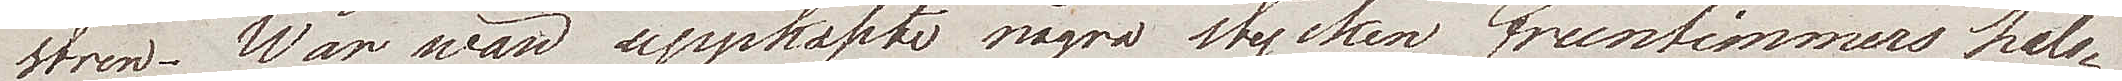stren. War wän uppköpte några stycken fruntimmers hals¬
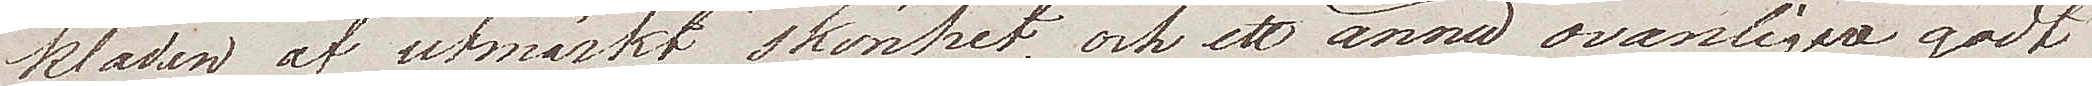kläden af utmärkt skönhet, och ett ännu ovanligere godt
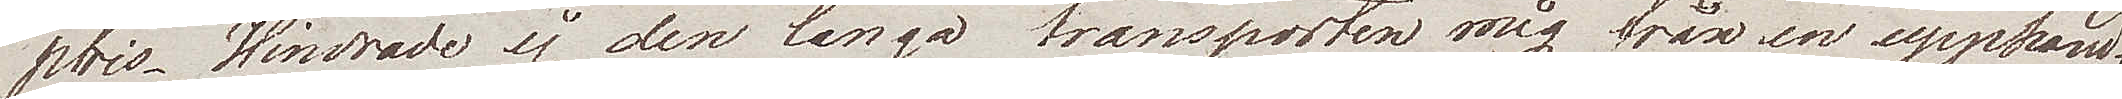pris. Hindrade ej den långa transporten mig från en upphand¬
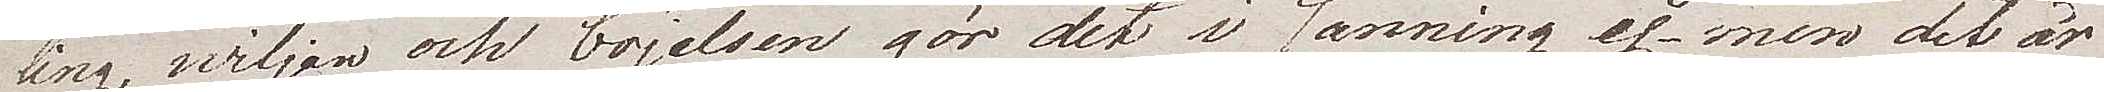ling, wiljan och böjelsen gör det i sanning ej men det är
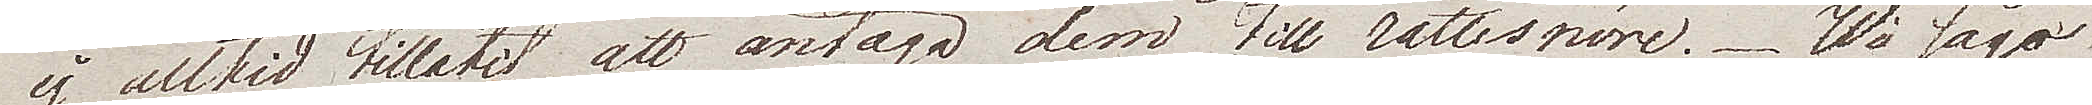ej alltid tillåtit att antaga dem till rättesnöre. Wi sågo
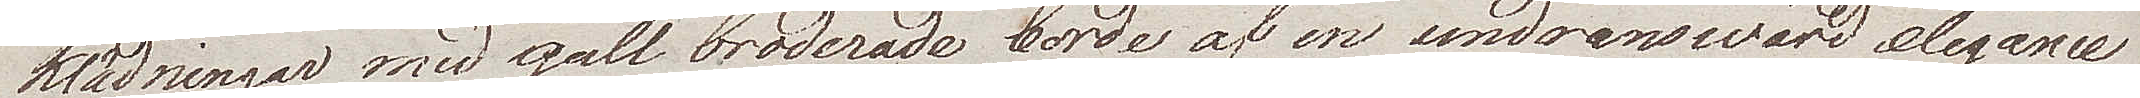klädningar med gull broderade borde af en undranswärd elegance
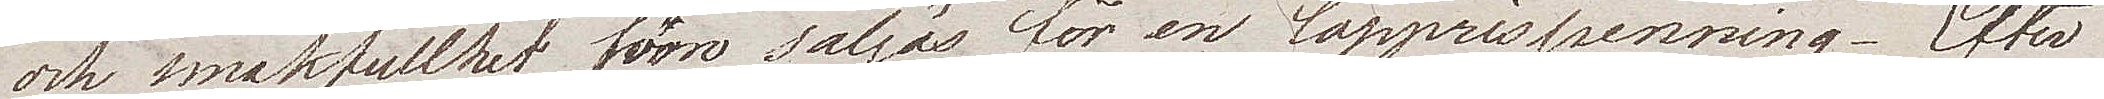och smakfullhet, förro säljes för en lapprispenning. Efter
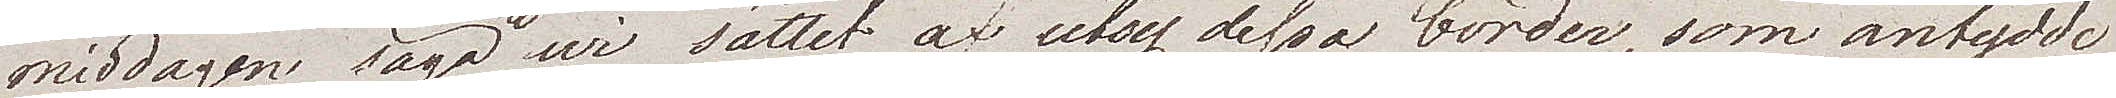middagen säga wi sättet af utog dessa border, som antydde
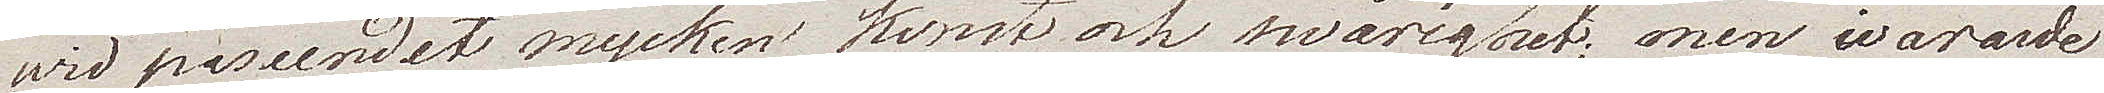wid påseendet mycken konst och swårighet; men ivararde
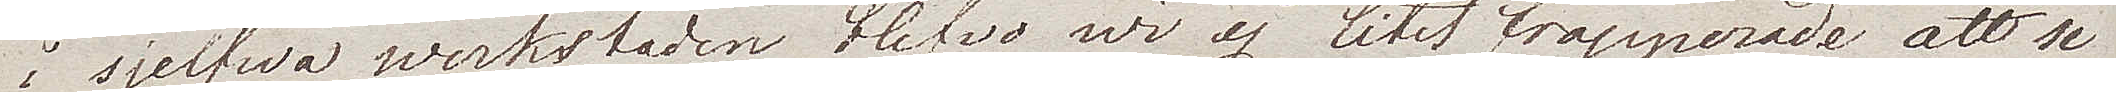i sjelfwa werkstaden blefvo wi ej litet frapperade att se
